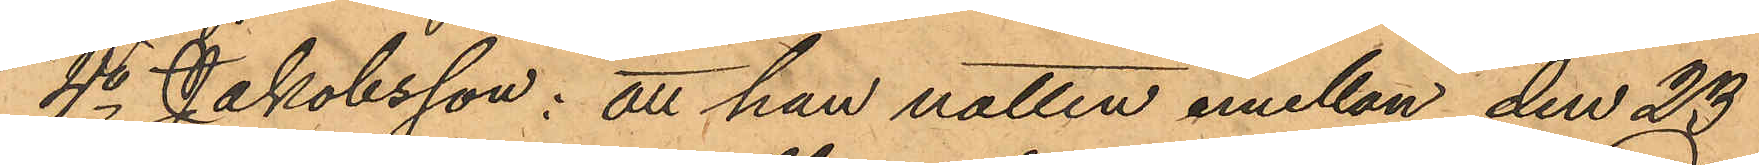4o Jakobsson: att han natten emellan den 23
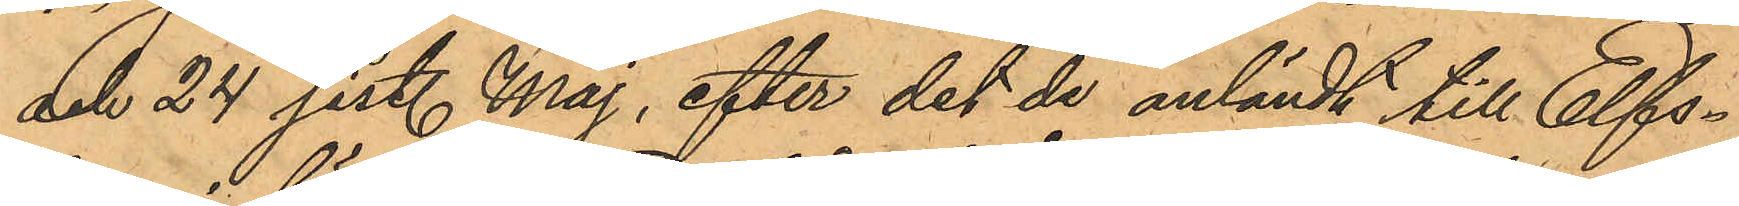och 24 sist. Maj, efter det de anländt till Elfs¬
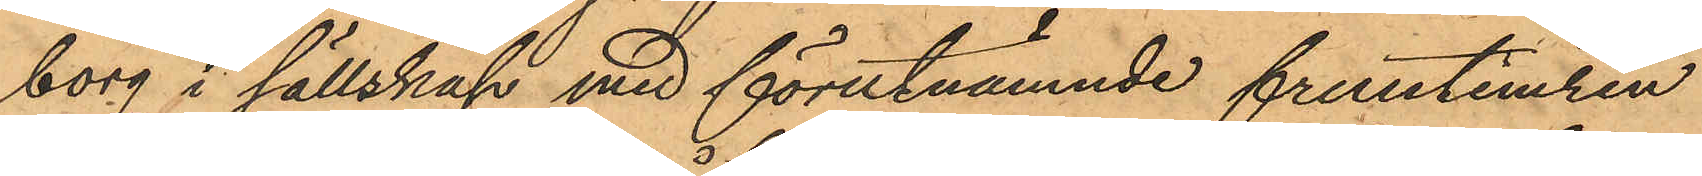borg i sällskap med förutnämnde fruntimren
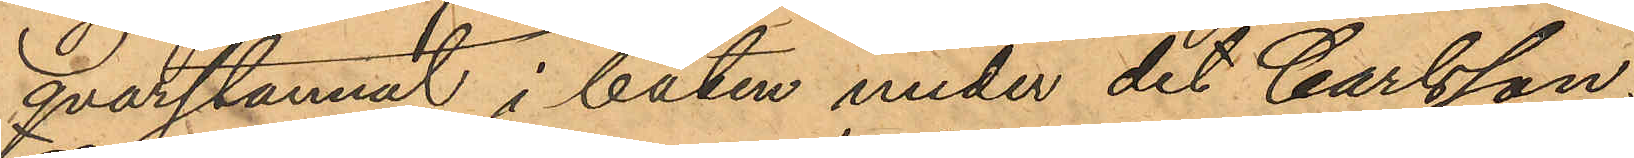Qvarstannat i båten under det Carlsson,
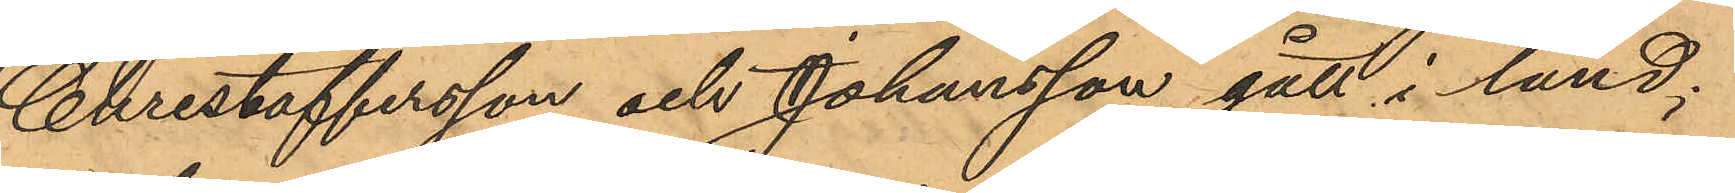Christoffersson och Johansson gått i land;
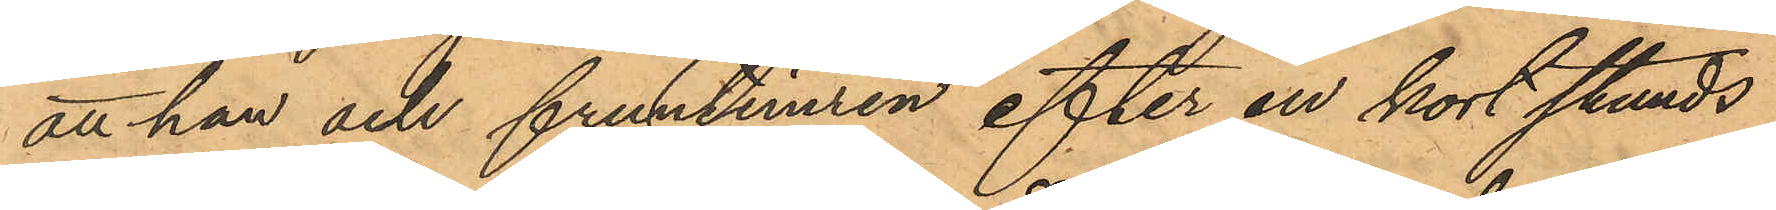att han och fruntimren efter en kort stunds
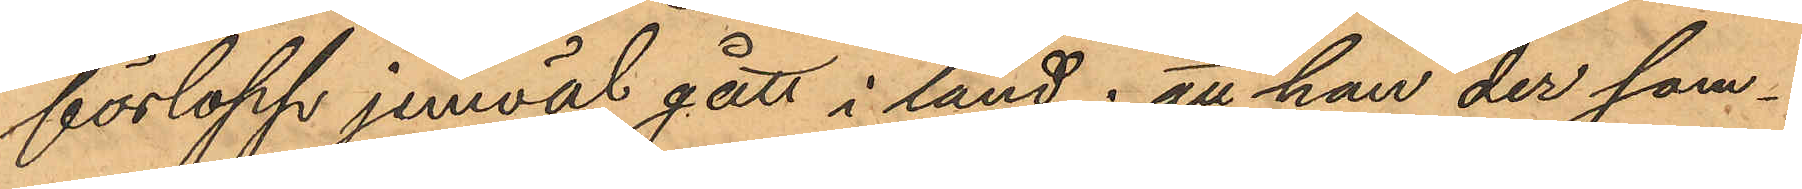förlopp jemväl gått i land; att han der sam¬
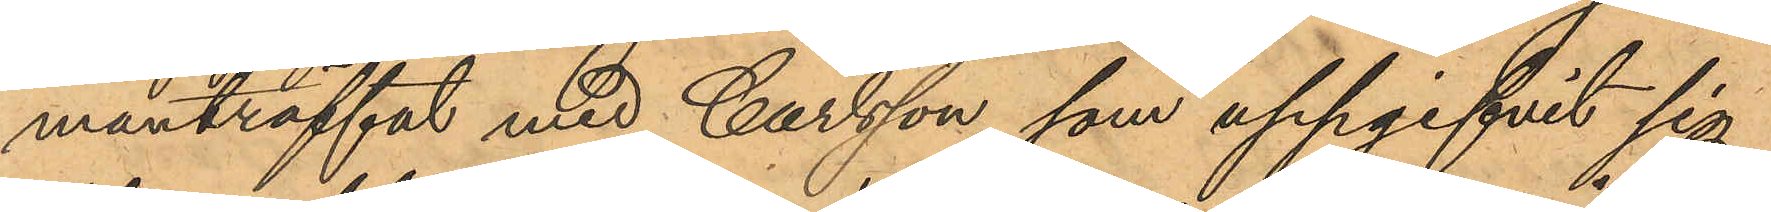manträffat med Carlsson, som uppgifvit sig
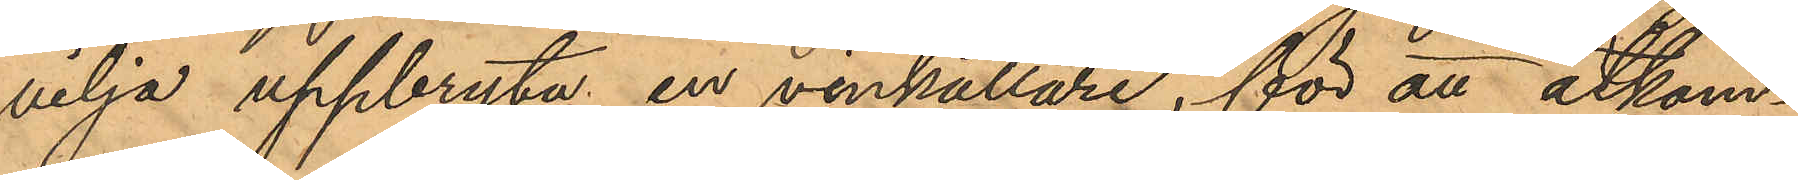vilja uppbryta en vinkällare, för att åtkom¬
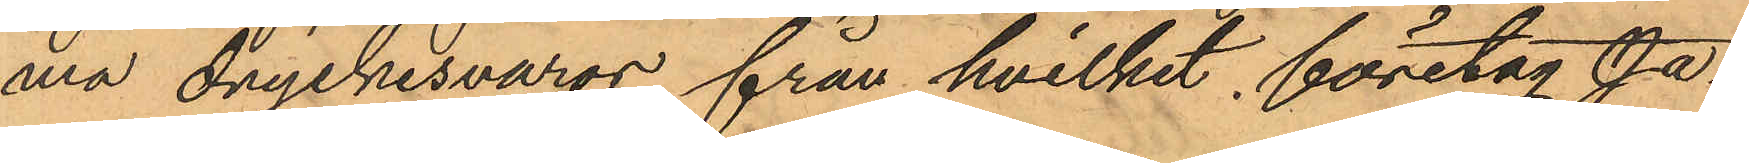ma dryckesvaror, från hvilket företag Ja¬
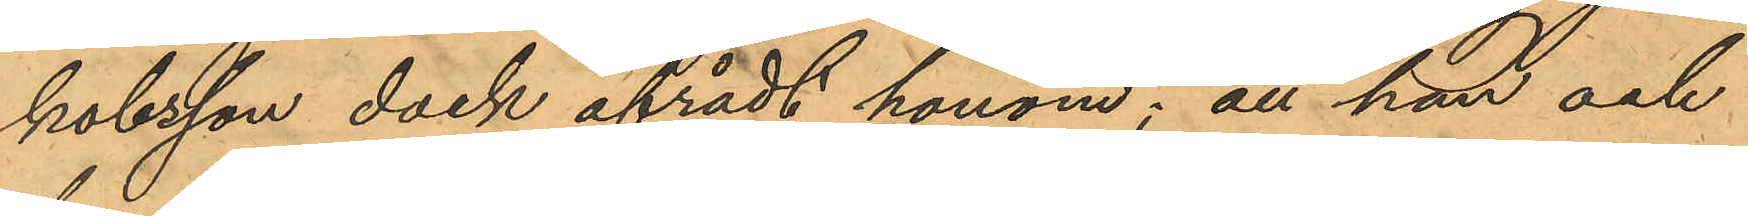kobsson dock afrådt honom; att han och
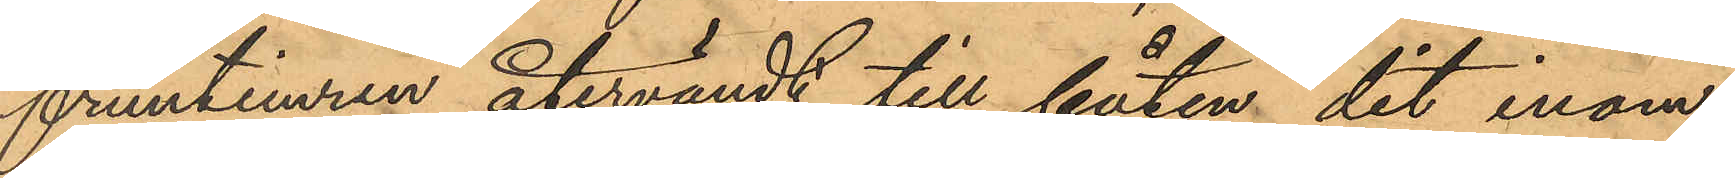fruntimren återvändt till båten dit inom
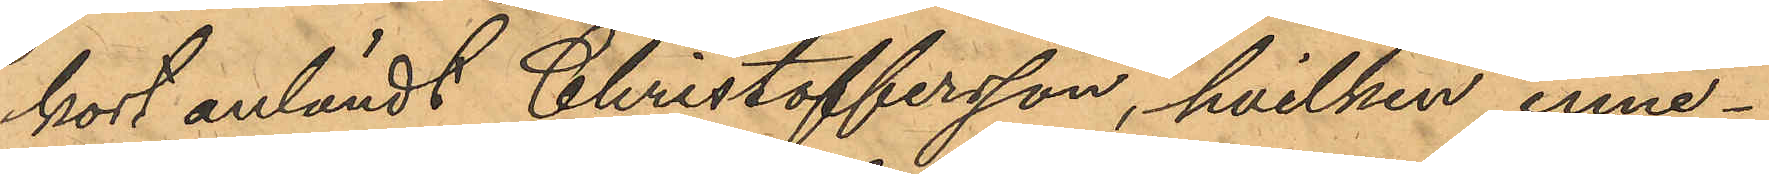kort anländt Christoffersson, hvilken inne¬
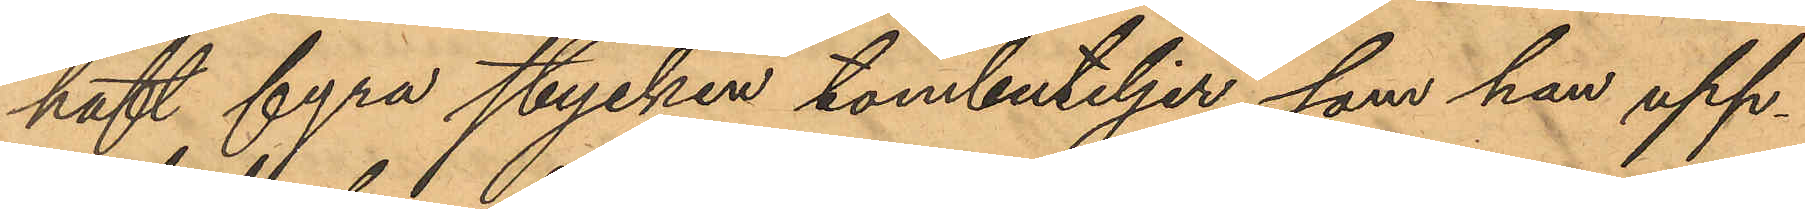haft fyra stycken tombuteljer, som han upp¬
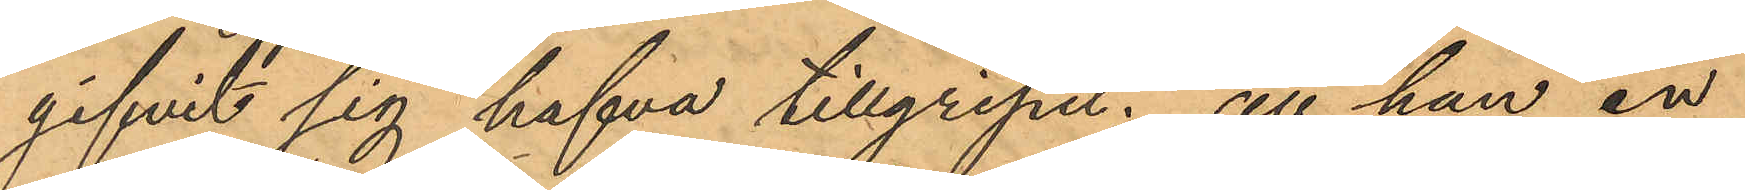gifvit sig hafva tillgripit; att han en
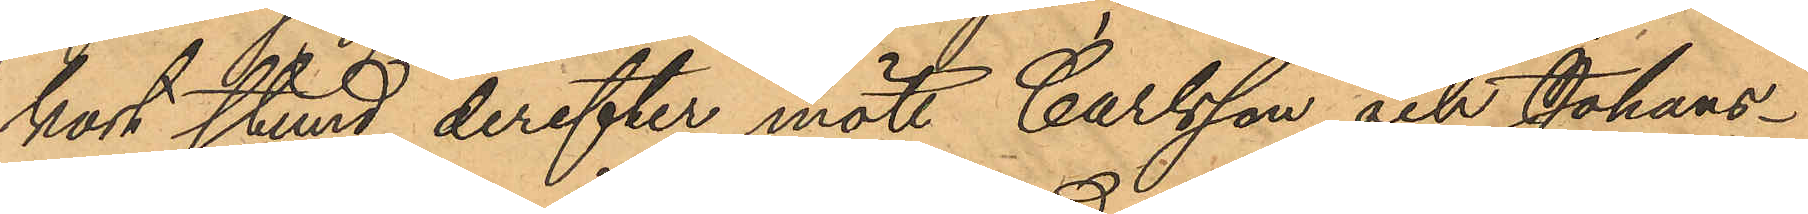kort stund derefter mött Carlsson och Johans¬
